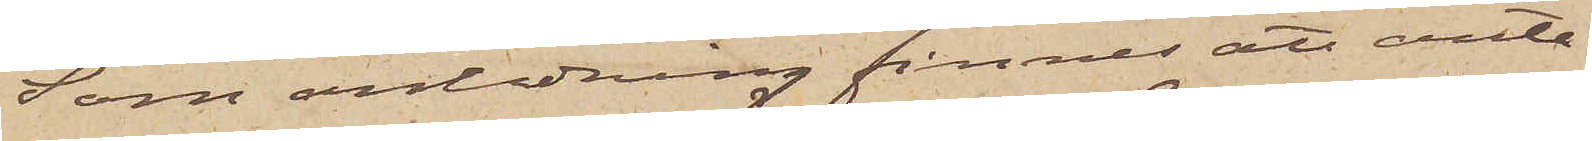Som anledning finnes att anta¬
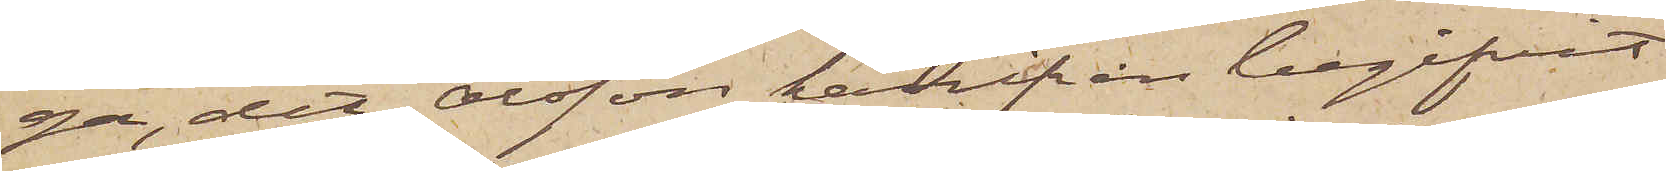ga, det Olsson härifrån begifvit
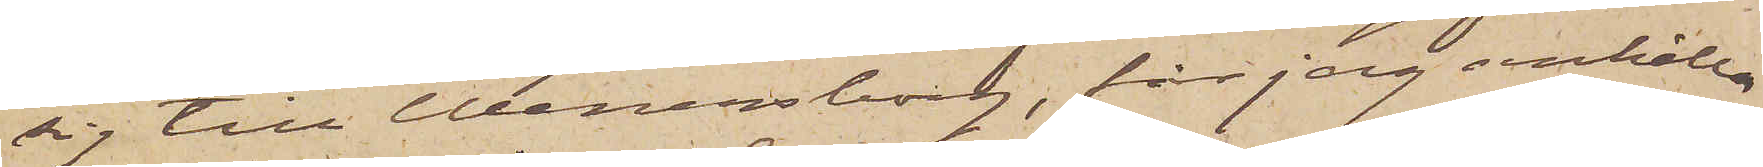sig till Wenersborg, får jag anhålla
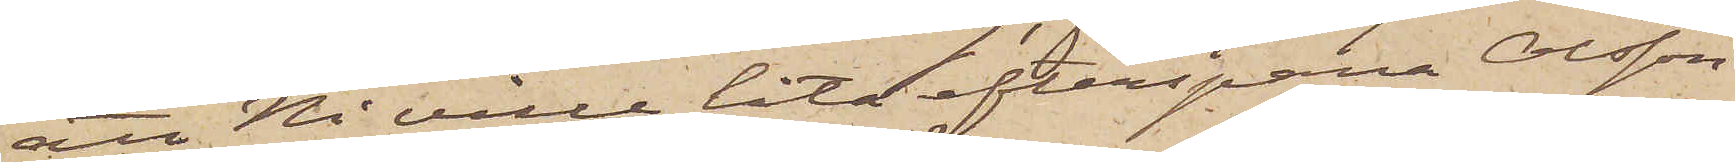att Ni ville låta efterspana Olsson
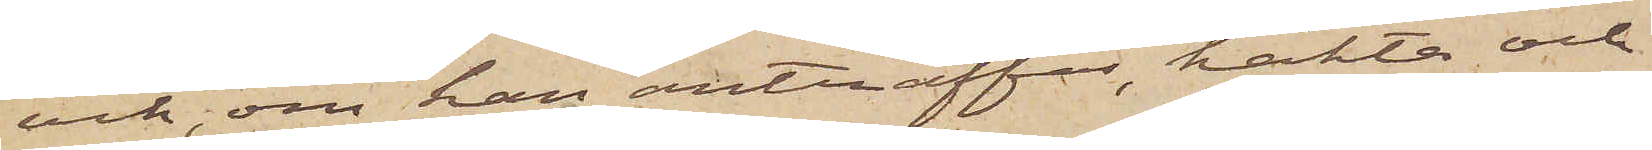och, om han anträffas, häkta och
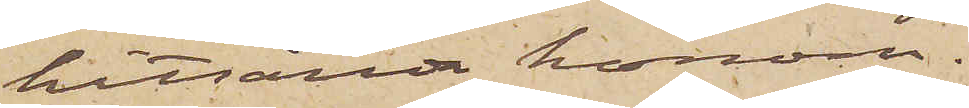hitsända honom.
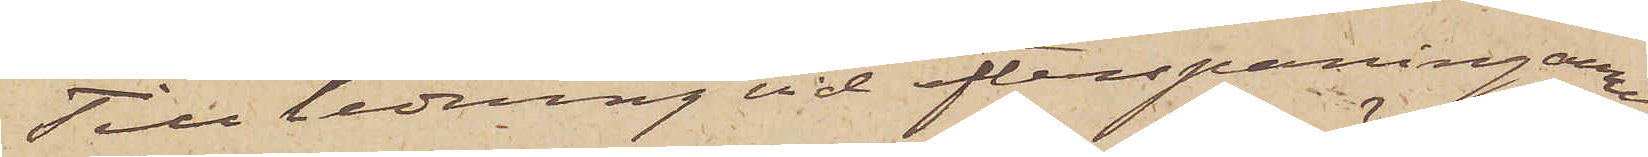Till ledning vid efterspaningarne
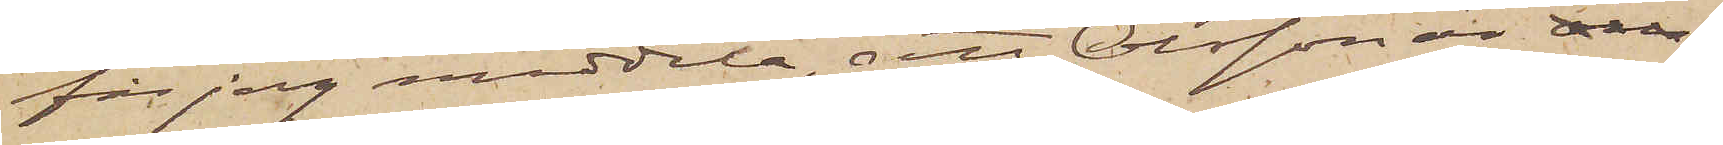får jag meddela, att Olsson är 
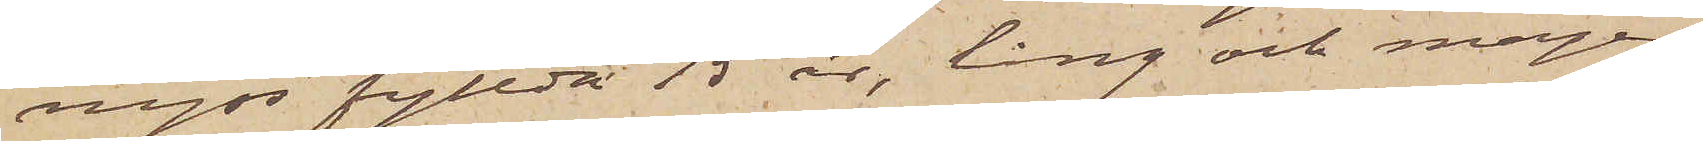nyss fyllda 15 år, lång och mager,
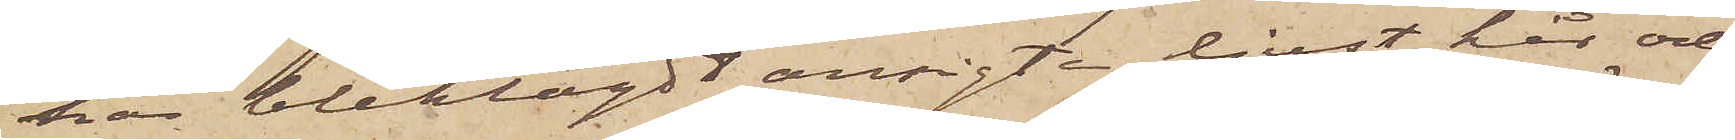har bleklagdt ansigte, ljust hår och
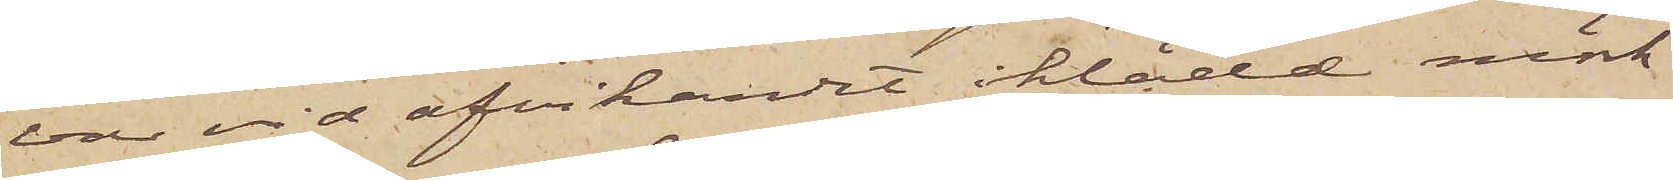var vid afvikandet iklädd mörk
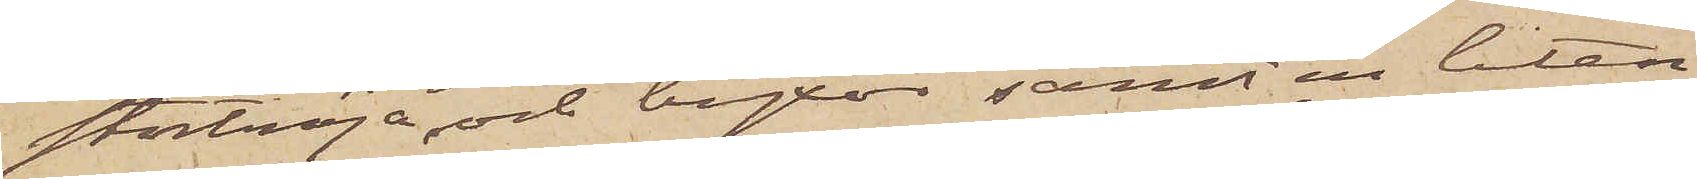stortröja och byxor samt en liten
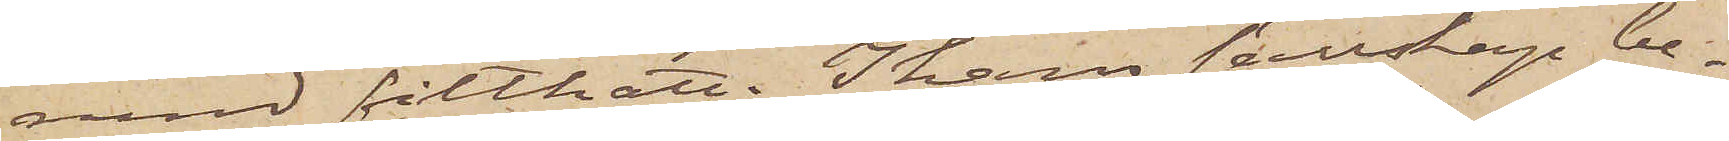rund filthatt. I hans sällskap be¬
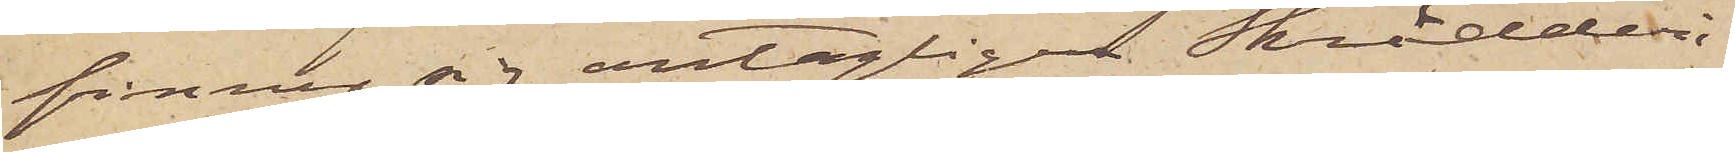finner sig antagligen Skrädderi¬
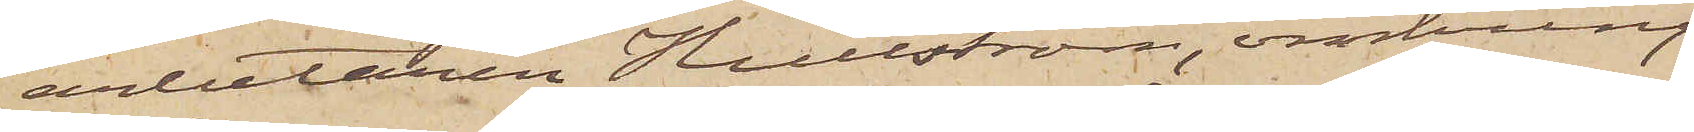arbetaren Hullström, omkring
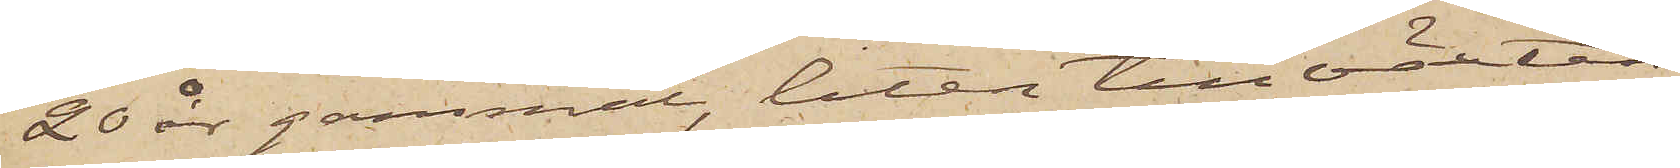20 år gammal, liten till växten,
